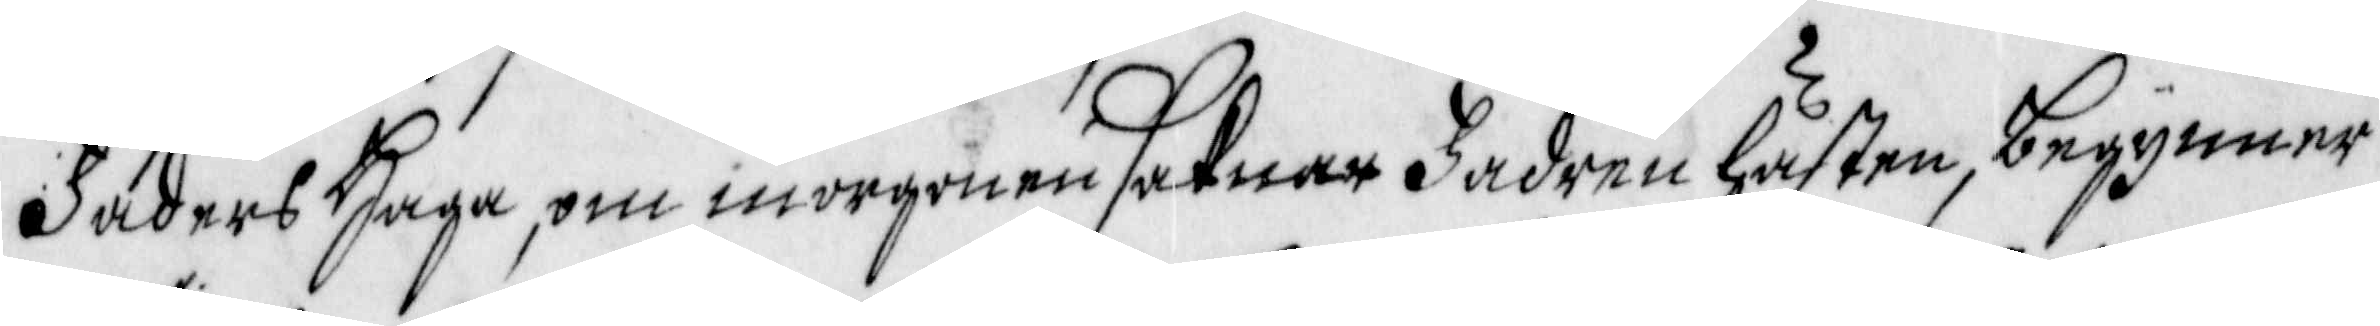Faders Haga, om morgonen saknar Fadren hästen, begynner
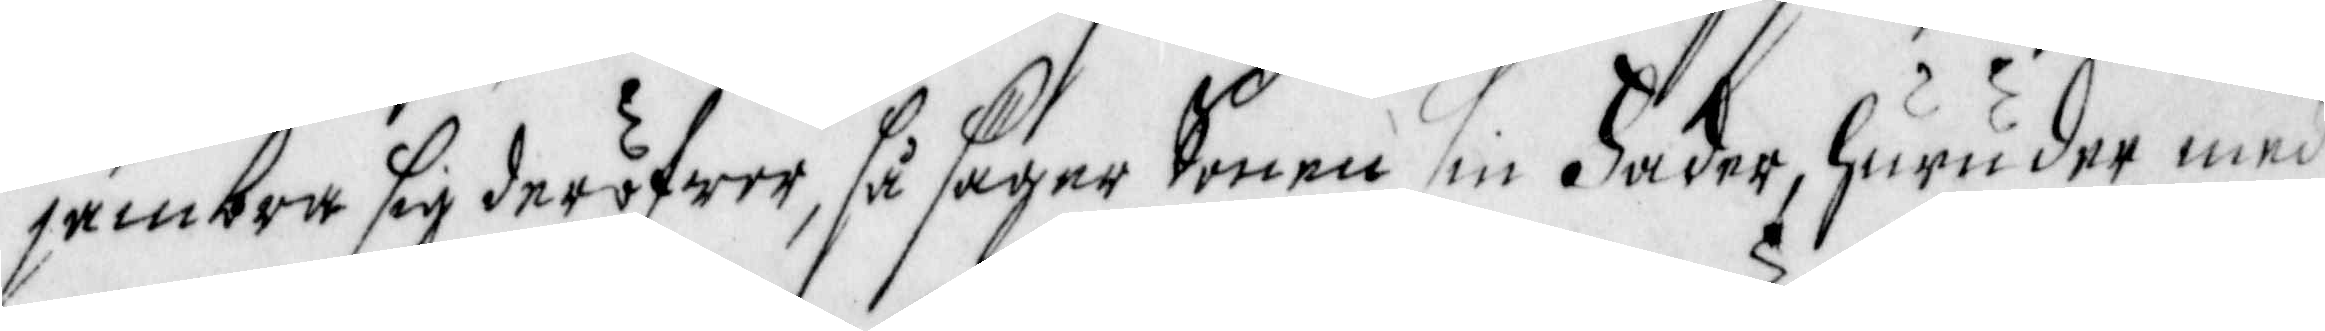jämbra sig deröfwer, så säger sonen sin Fader, huru der med
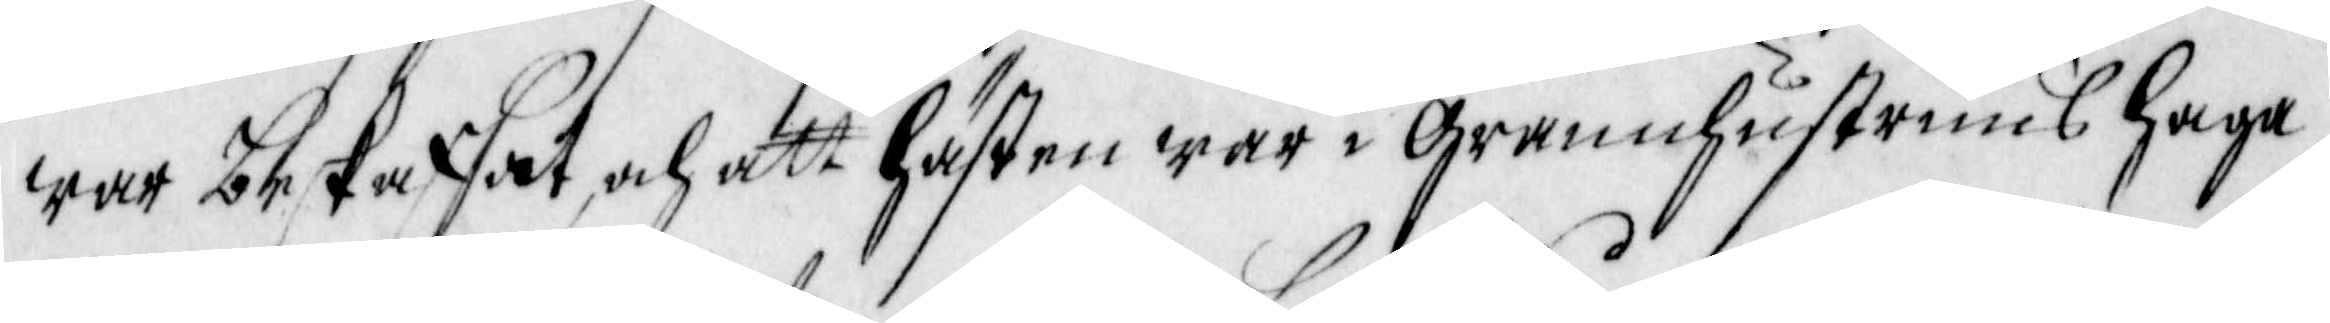war beskaffat, och att hästen war i Grannhustruns haga,
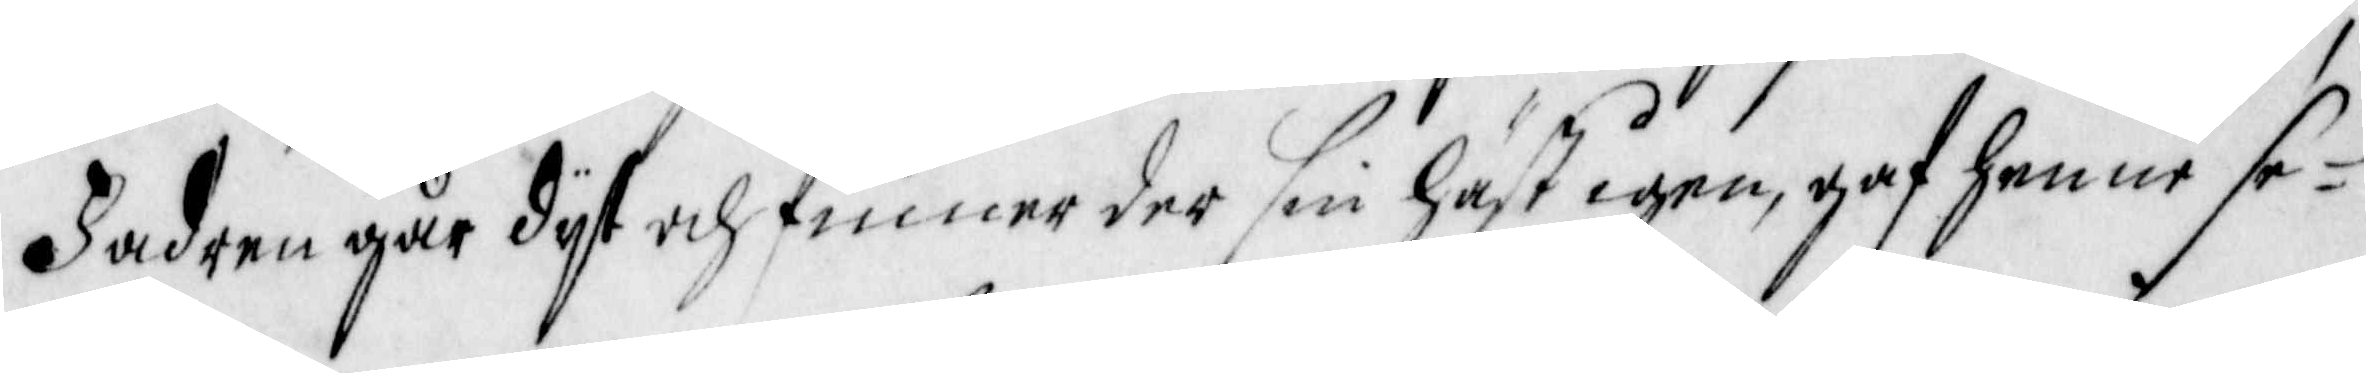Fadren går dyt och finner der sin häst igen, gaf henne se¬
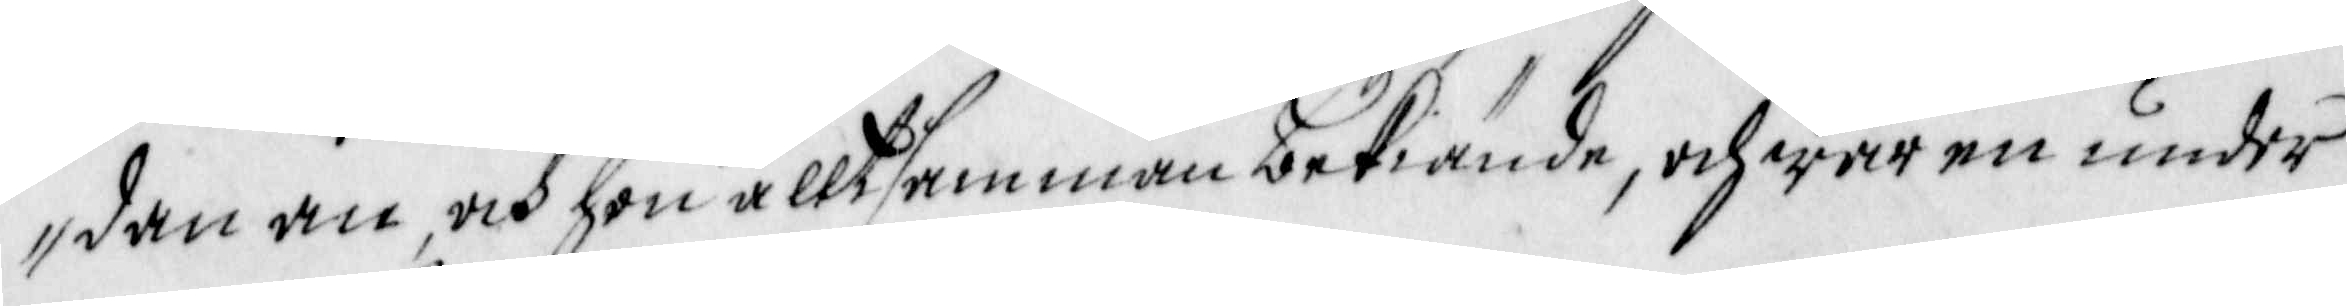dan an, och hon alltsamman bekiände, och war en under
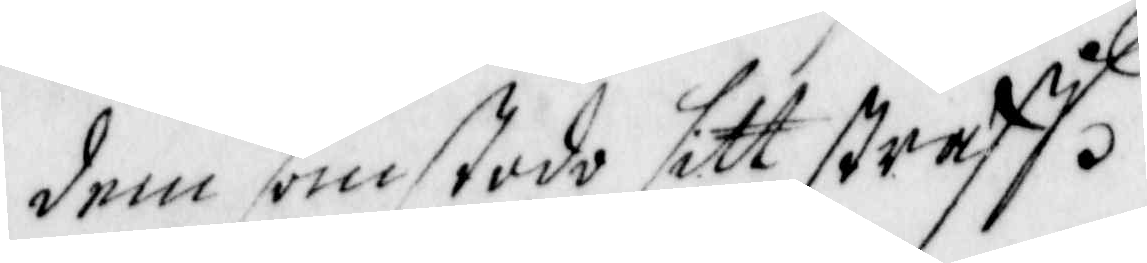dem som stodo sitt straff.
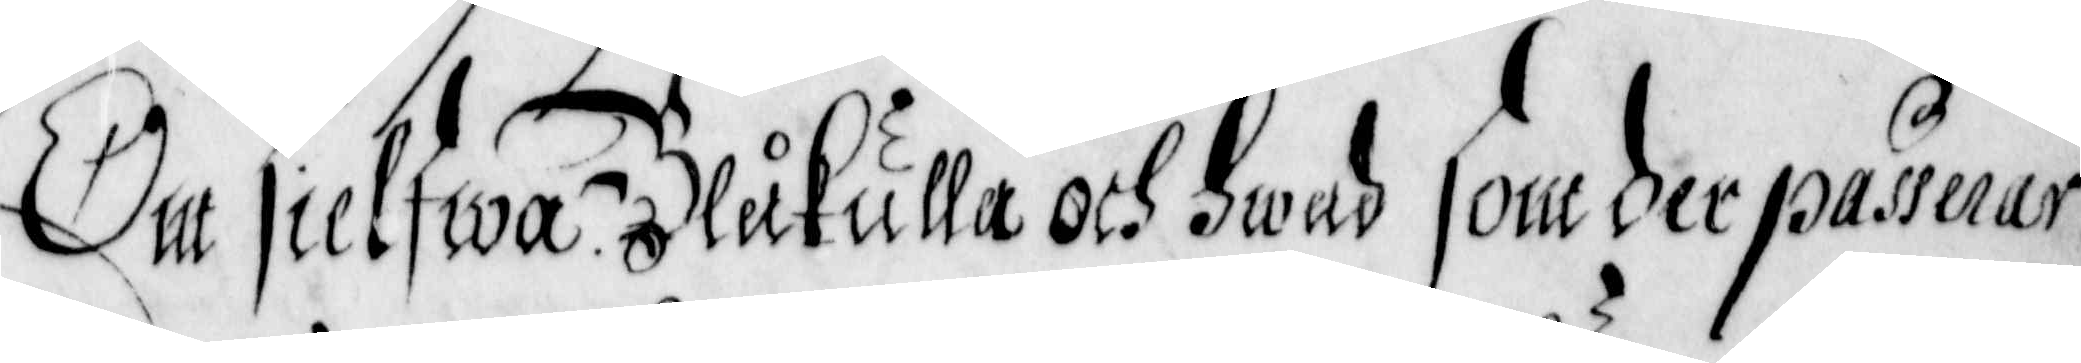Om sielfwa Blåkulla och Hwad som der passerar.
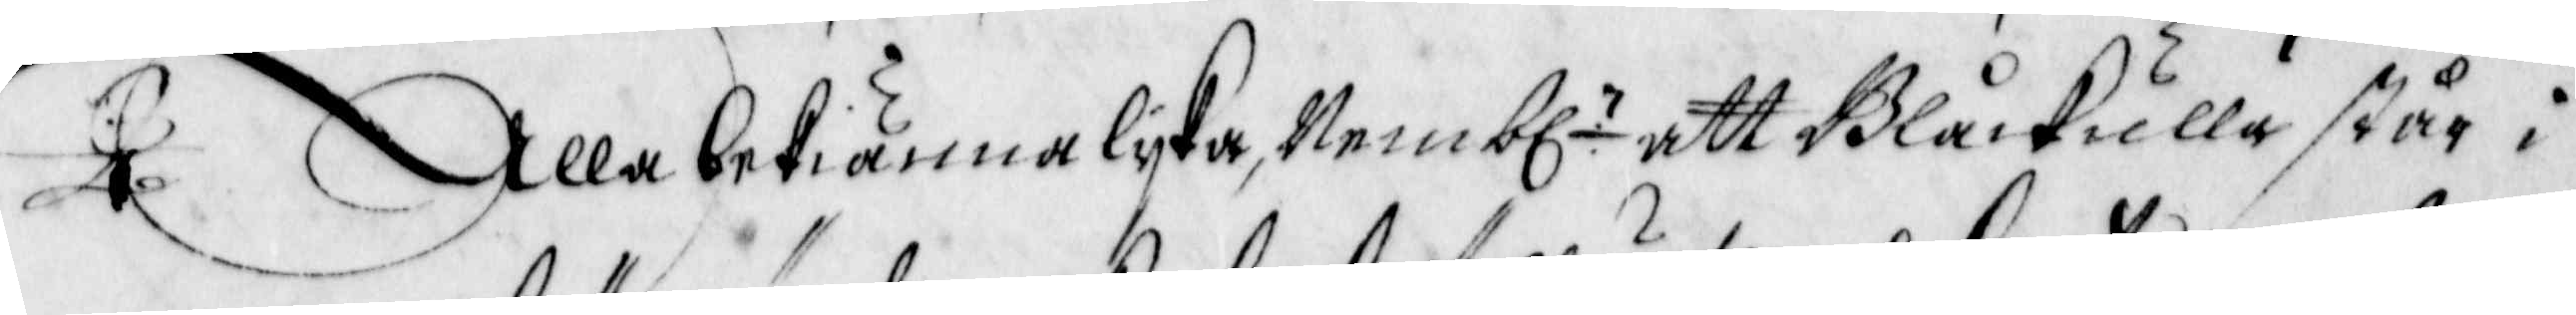Alla bekiänna lyka, Nembl. att Blåckulla står i
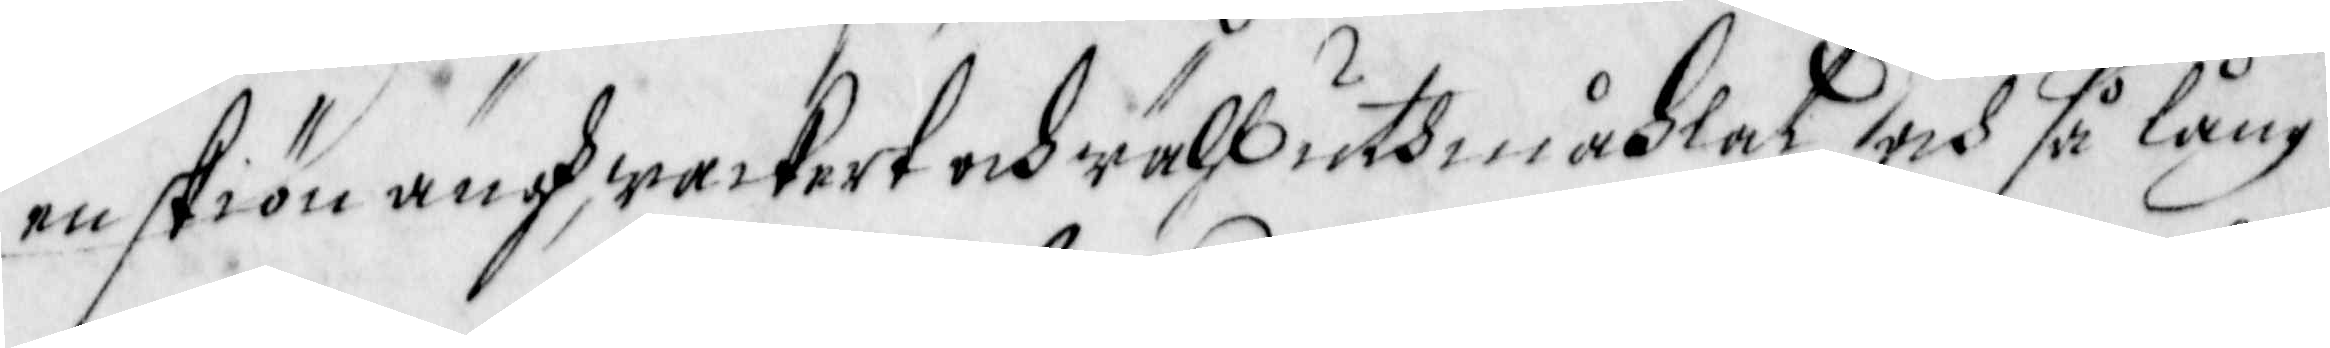en skiön ängh, wackert och wähll uthmåhlat och så lång
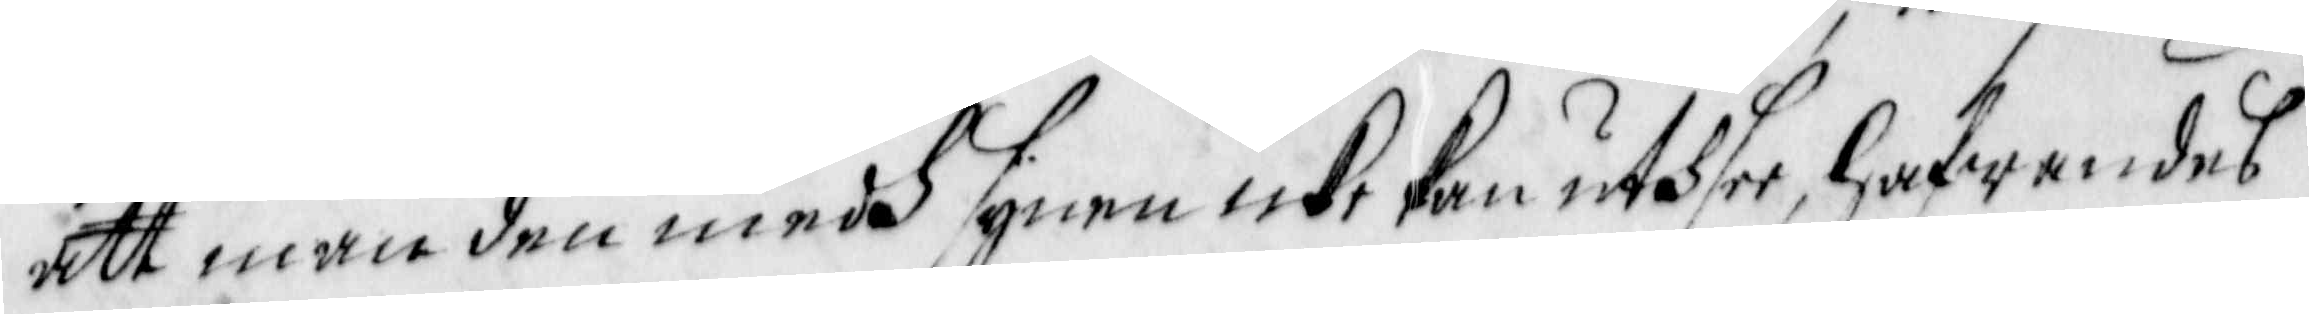att man den medh synen icke kan uthsee, hafwandes
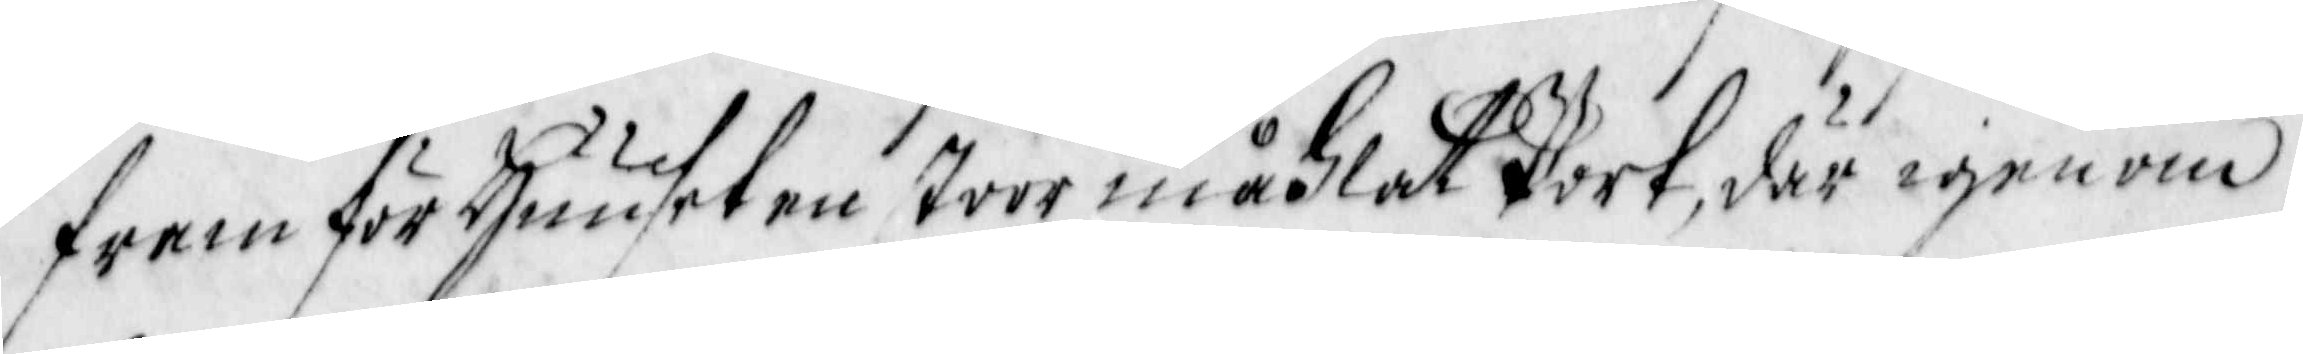fram för Huuset en stoor måhlat Port, där igenom
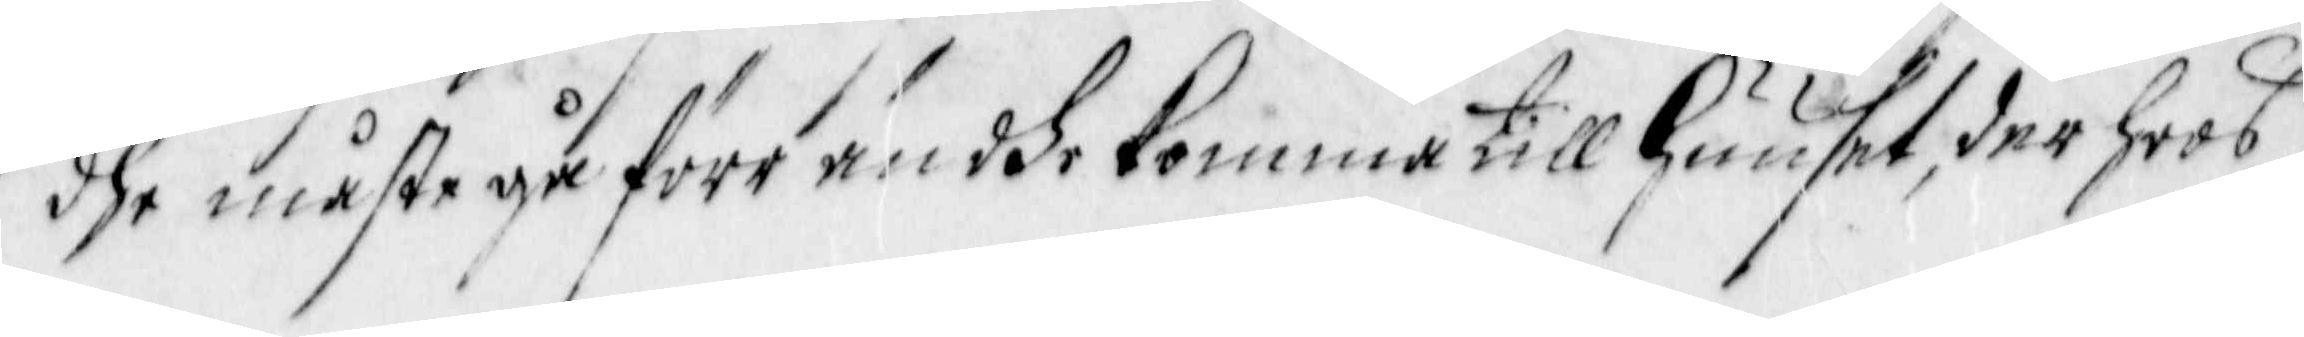dhe måste gå förr än dhe Komma till Huuset, der hoos
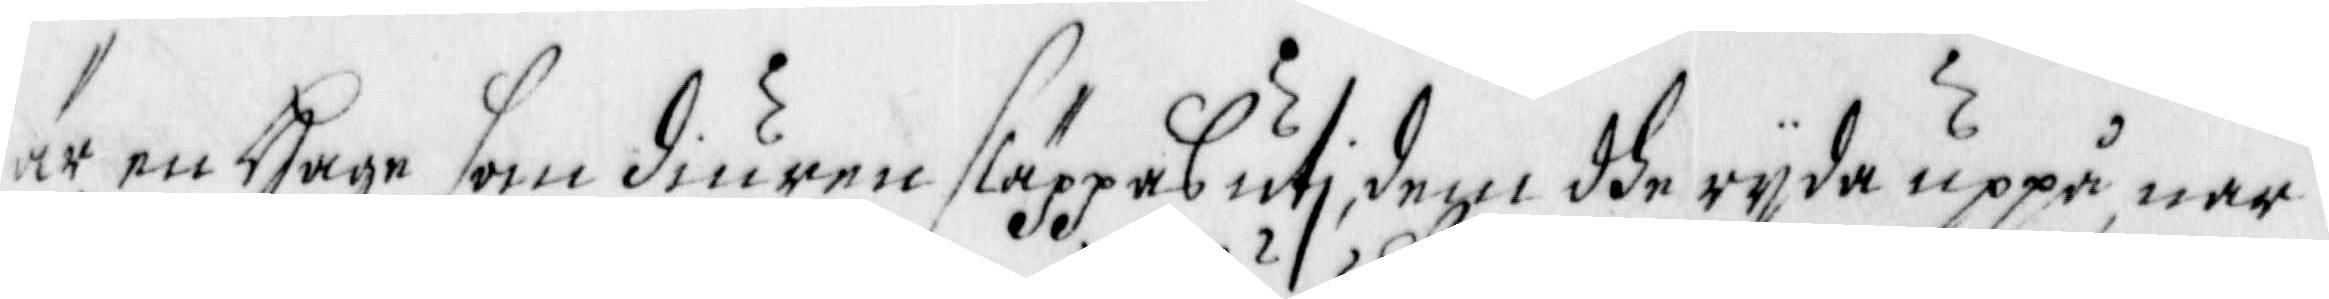är en Hage som diuren släppasuti, dem dhe ryda uppå när
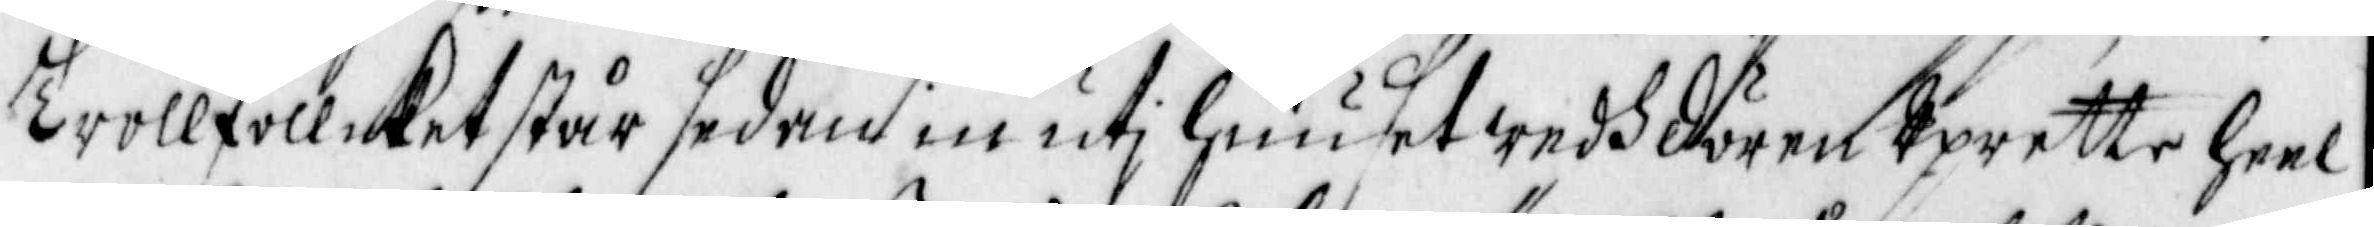Trollfollcket står sedan i uti Huuset wedh dören Uprette heel
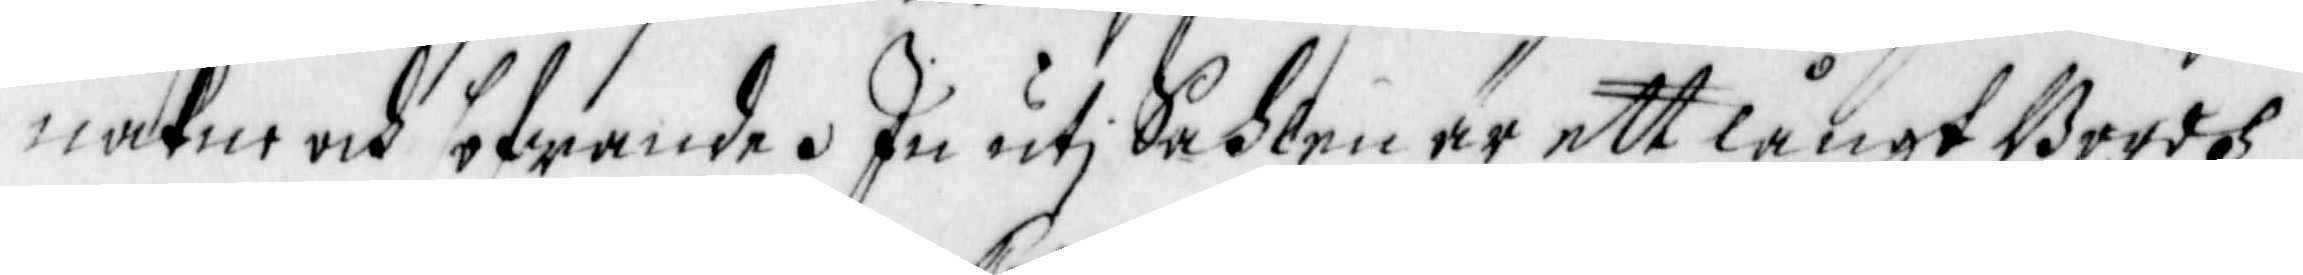nakne och sofwande. In uti Sahlen är ett långt Bordh
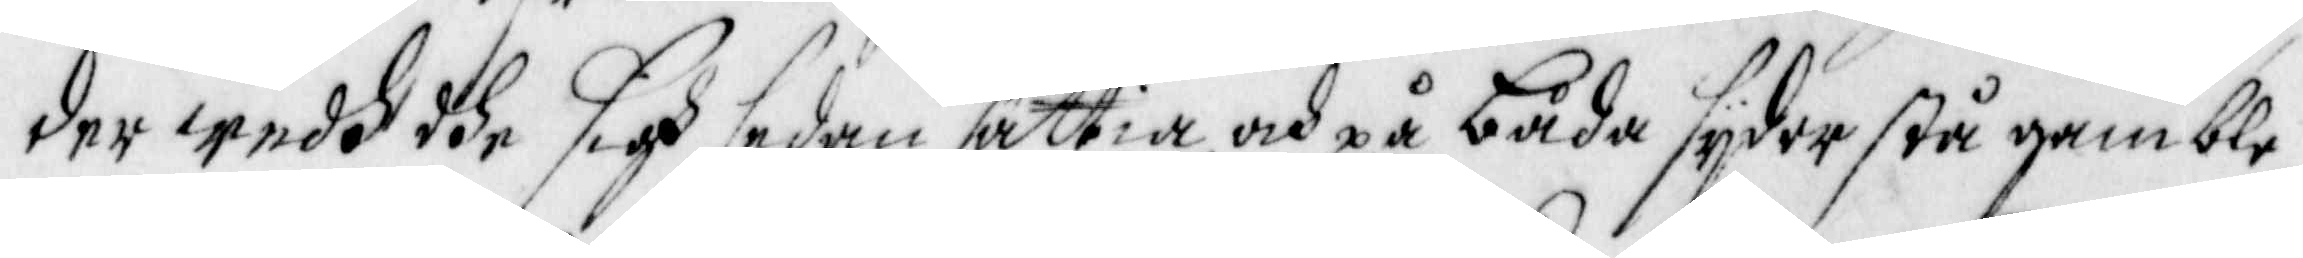der wedh dhe sigh sedan sättia, och på båda sydor stå gamble
